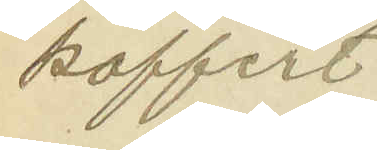koffert.
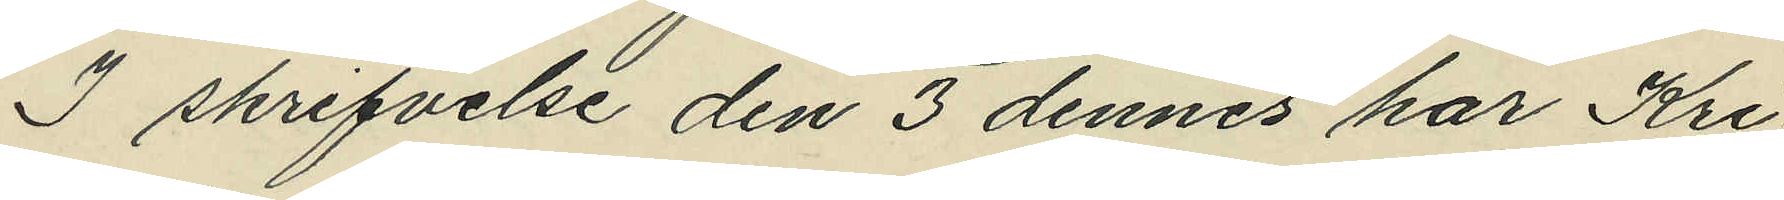I skrifvelse den 3 dennes har Kri¬
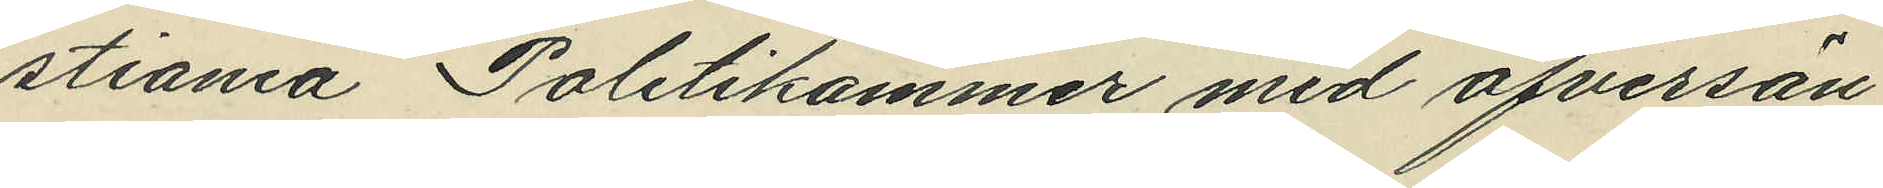stiania Politikammer med öfversän¬
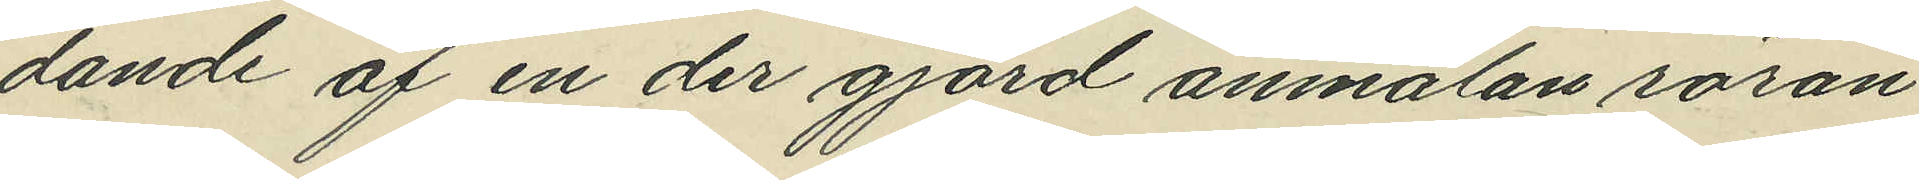dande af en der gjord anmälan röran¬
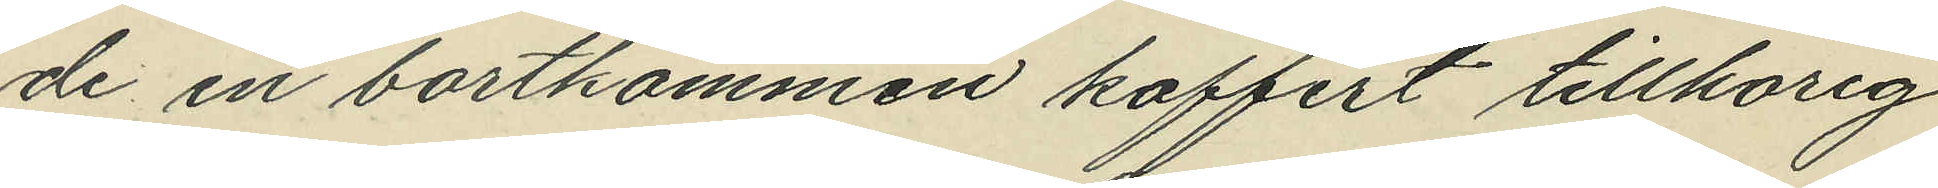de en bortkommen koffert tillhörig
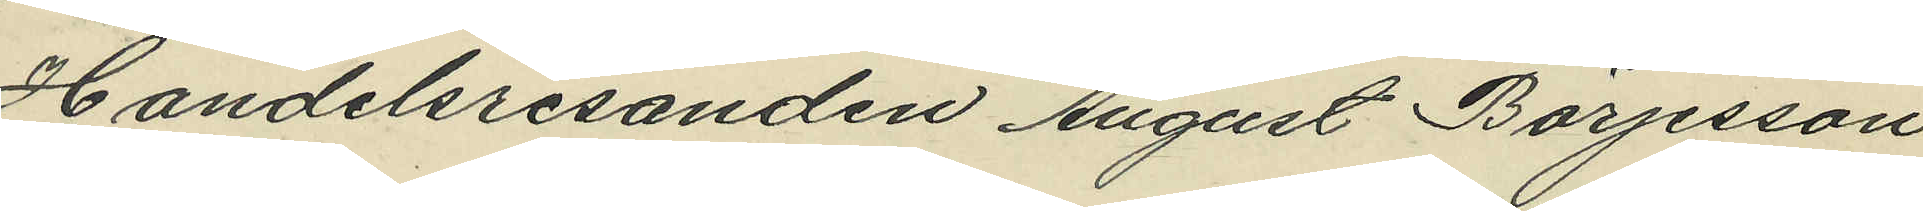Handelsresanden August Börjesson
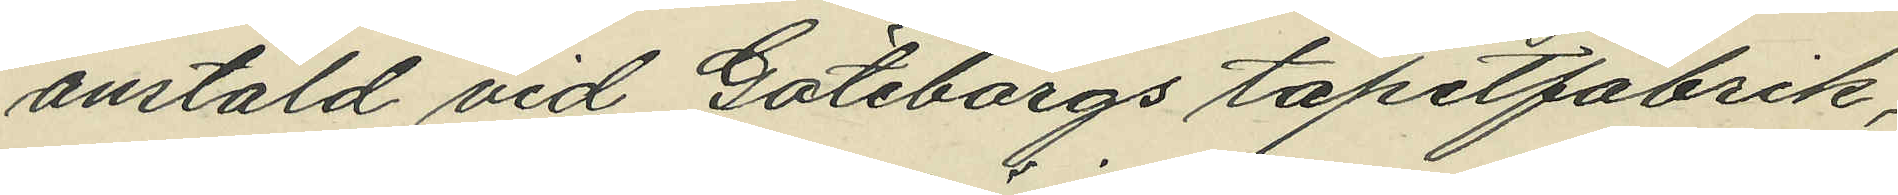anstäld vid Göteborgs tapetfabrik,
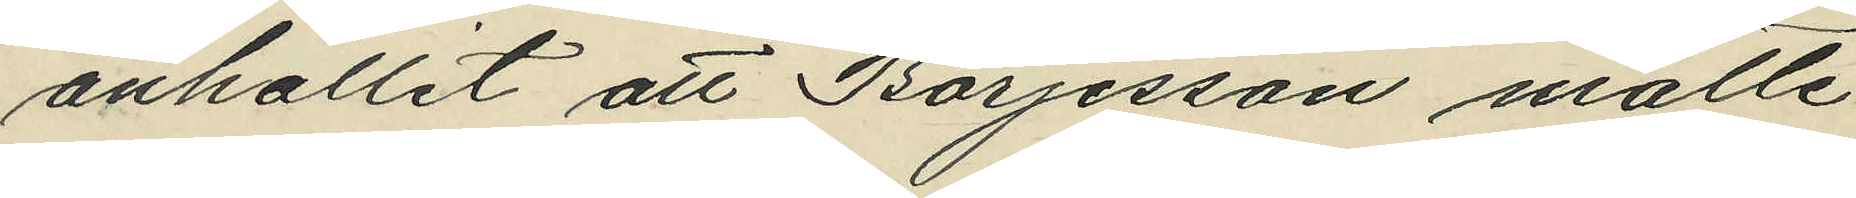anhållit att Börjesson måtte
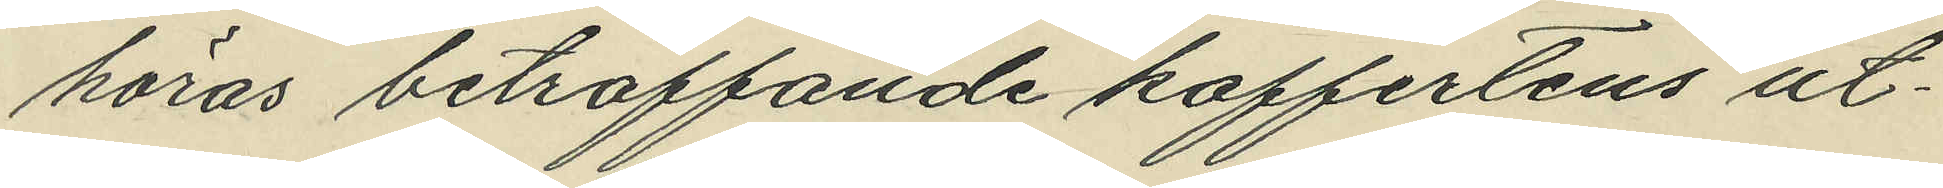höras beträffande koffertens ut¬
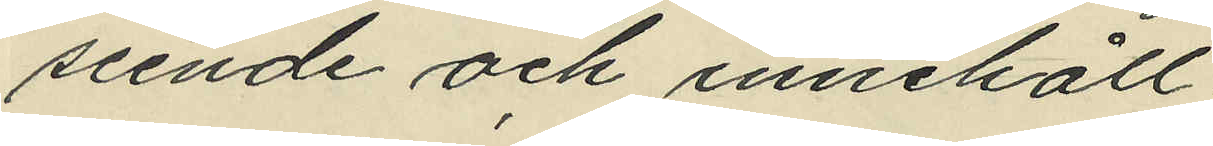seende och innehåll.
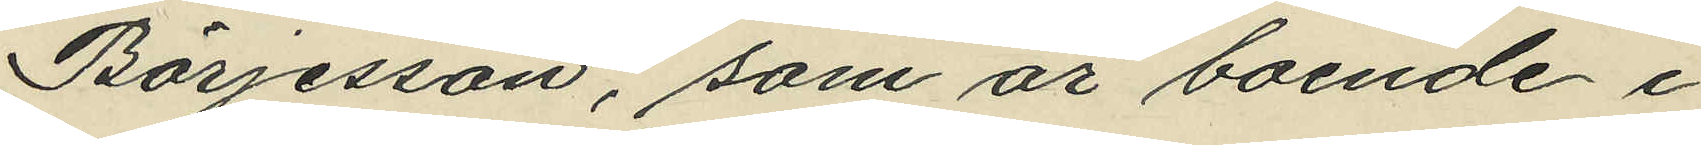Börjesson, som är boende i
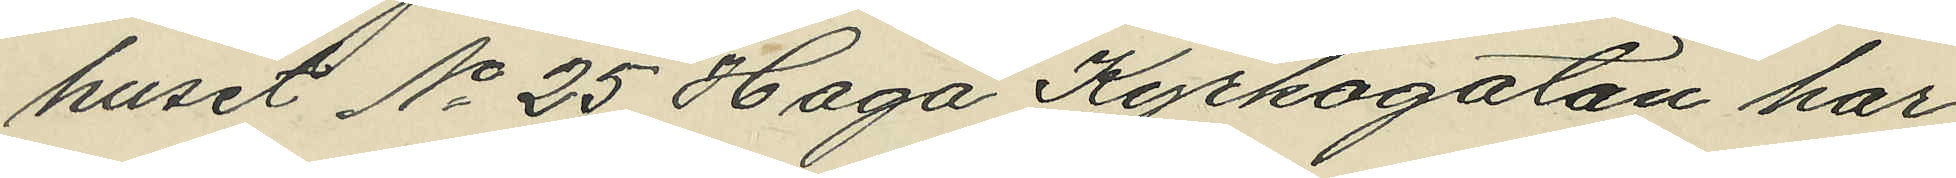huset No 25 Haga Kyrkogatan har
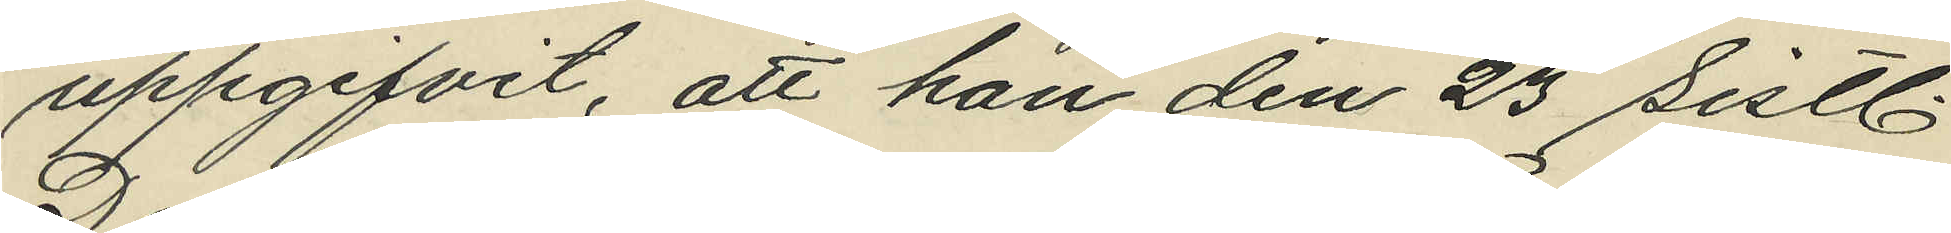uppgifvit, att han den 23 sistl.
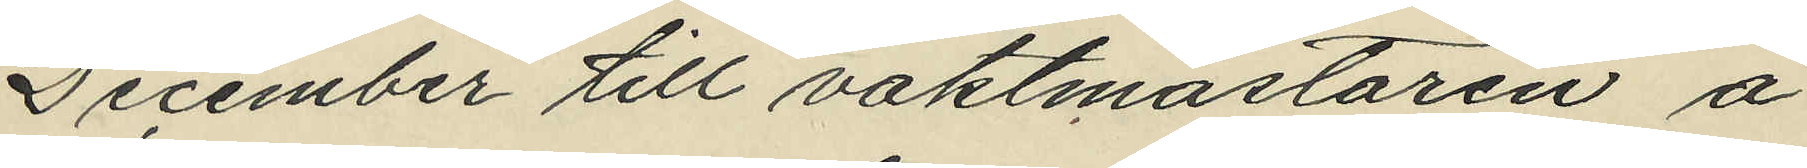December till vaktmästaren å
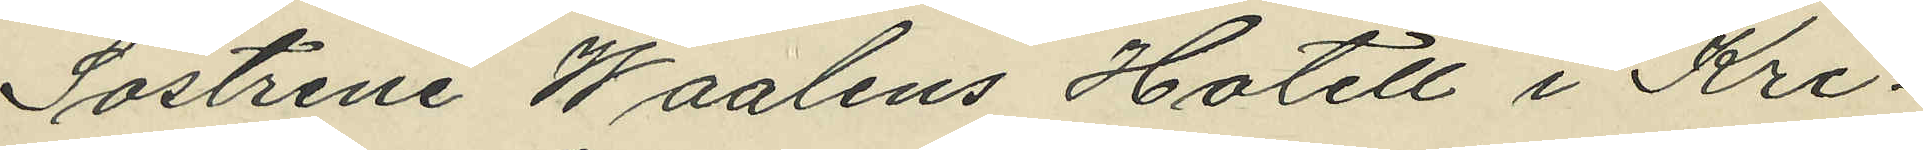Söstrene Waalens Hotell i Kri¬
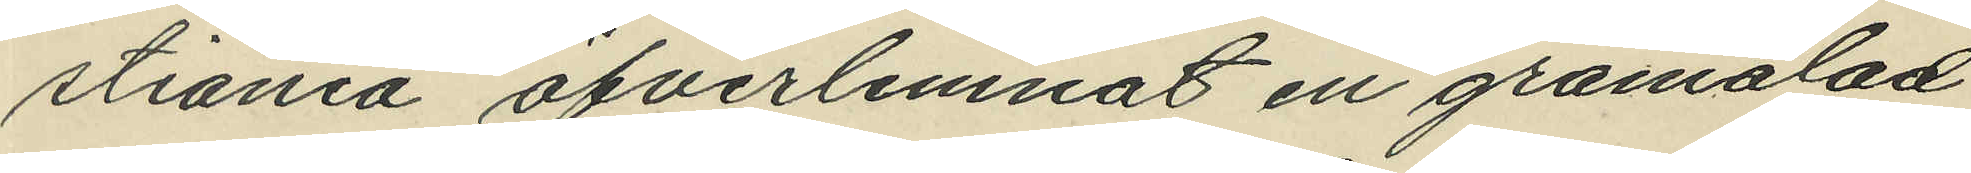tiania öfverlemnat en gråmålad
